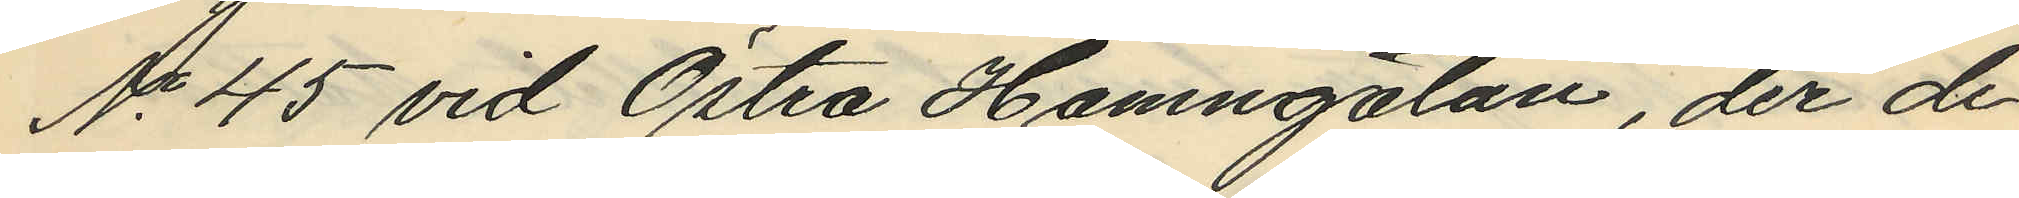No 45 vid Östra Hamngatan, der de
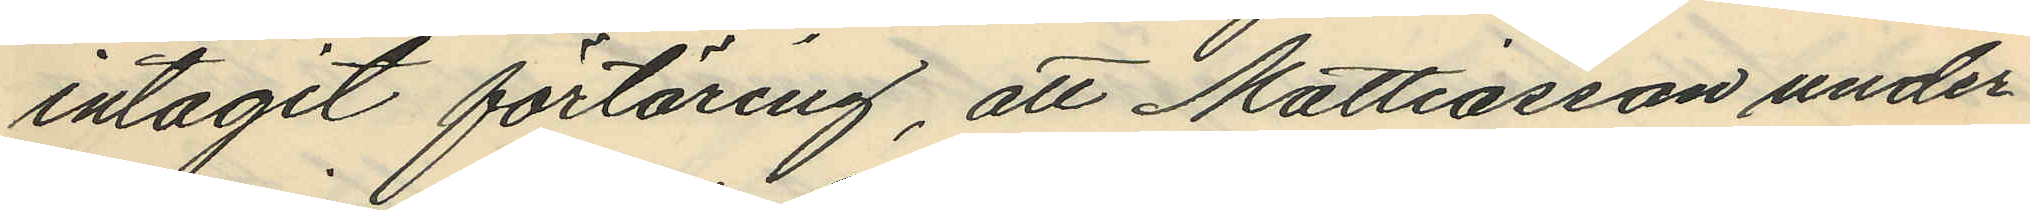intagit förtäring, att Mattiasson under
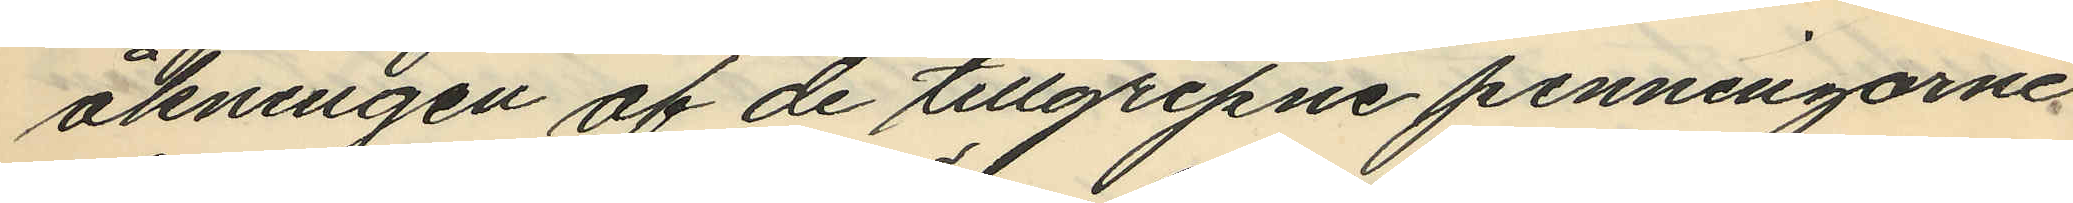åkningen af de tillgripne penningarne
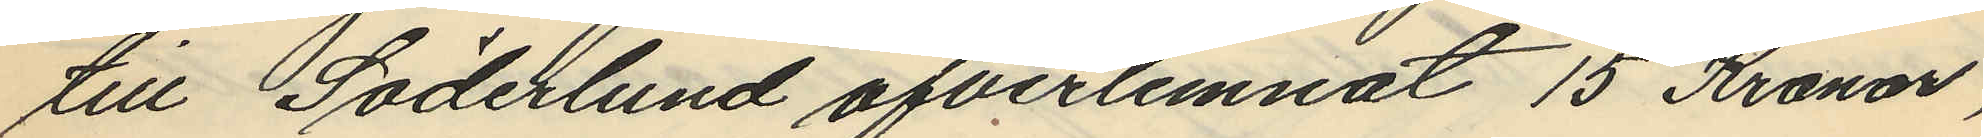till Söderlund öfverlemnat 15 Kronor,
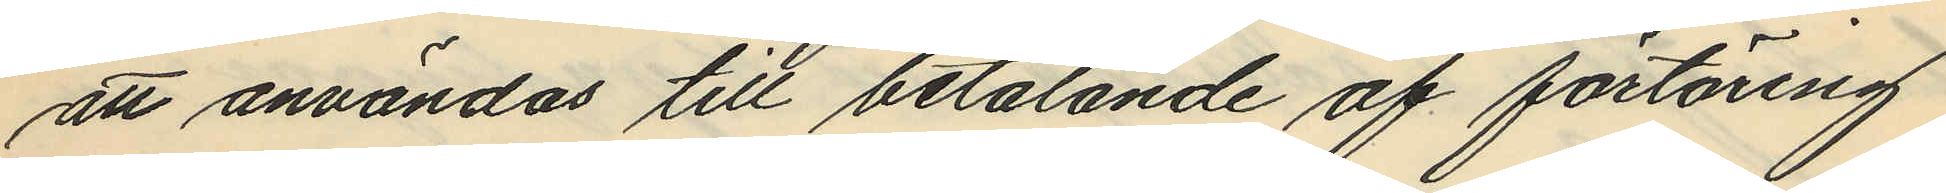att användas till betalande af förtäring
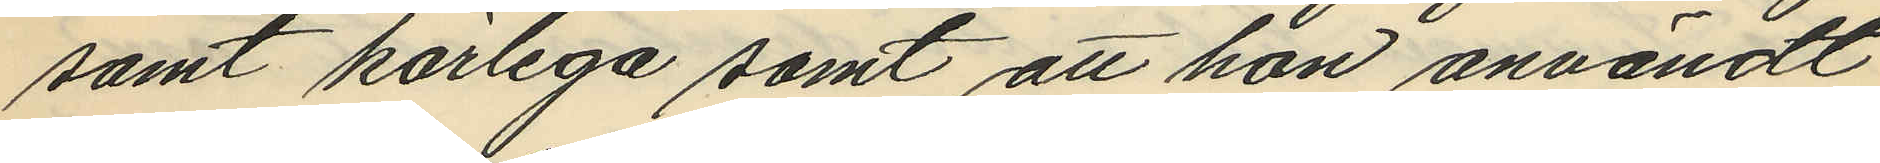samt körlega samt att han användt
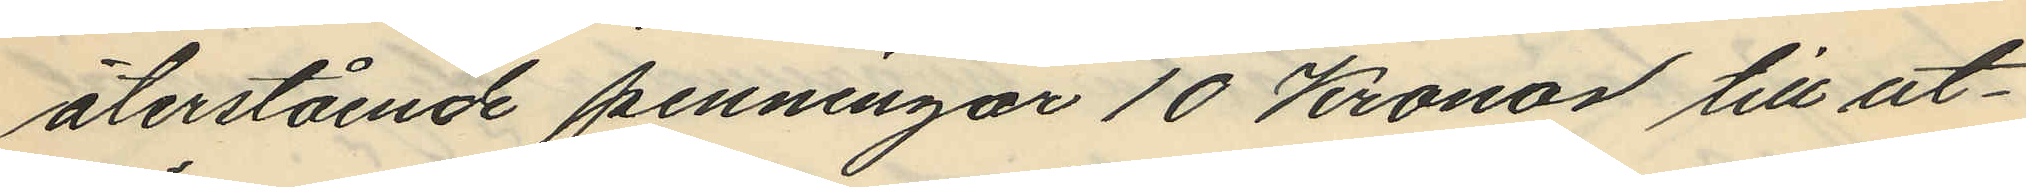återstående penningar 10 Kronor till ut¬
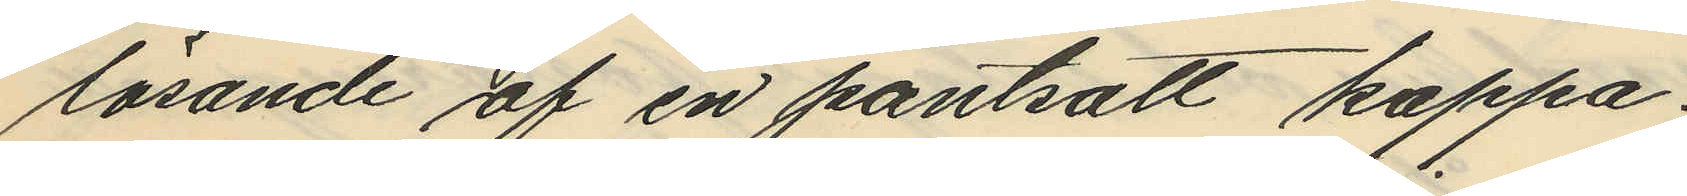lösande af en pantsatt kappa.
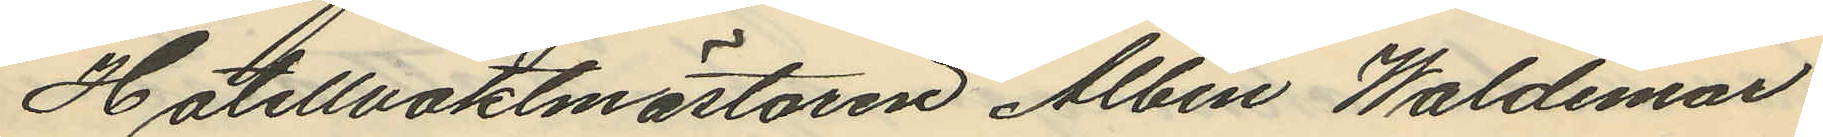Hotellvaktmästaren Albin Waldemar
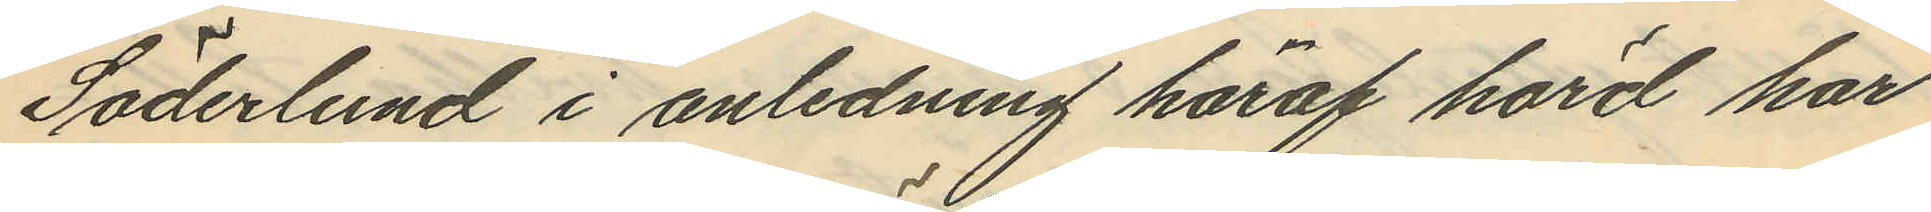Söderlund i anledning häraf hörd har
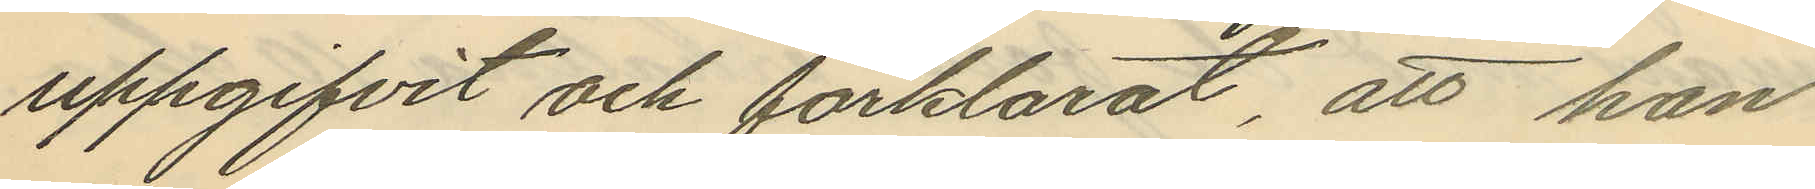uppgifvit och förklarat, att han
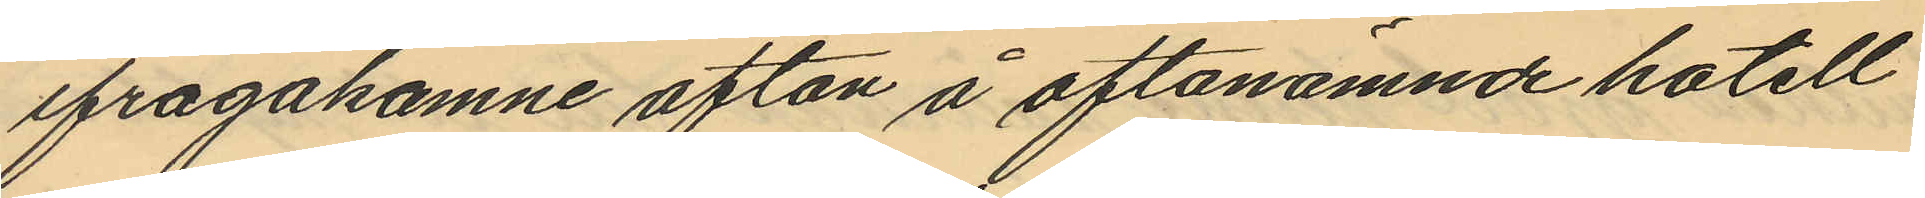ifrågakomne afton å oftanämnde hotell
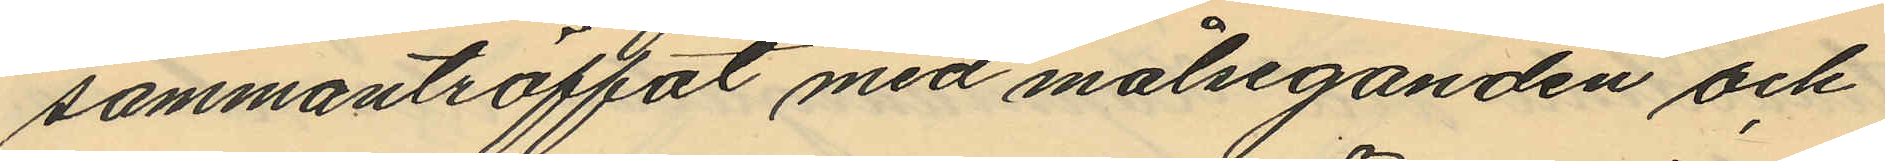sammanträffat med målseganden och
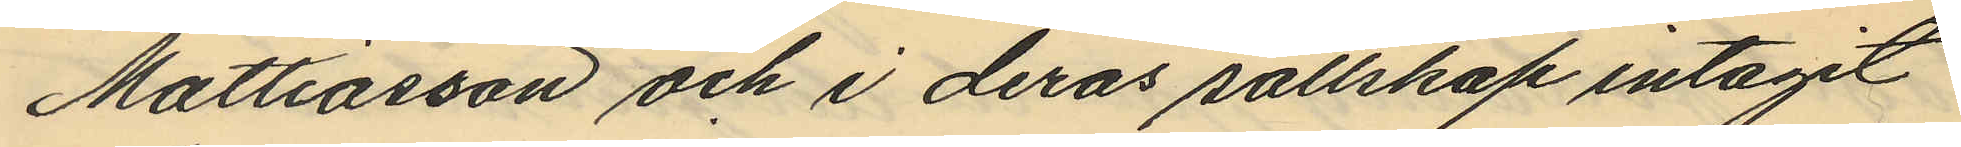Mattiasson och i deras sällskap intagit
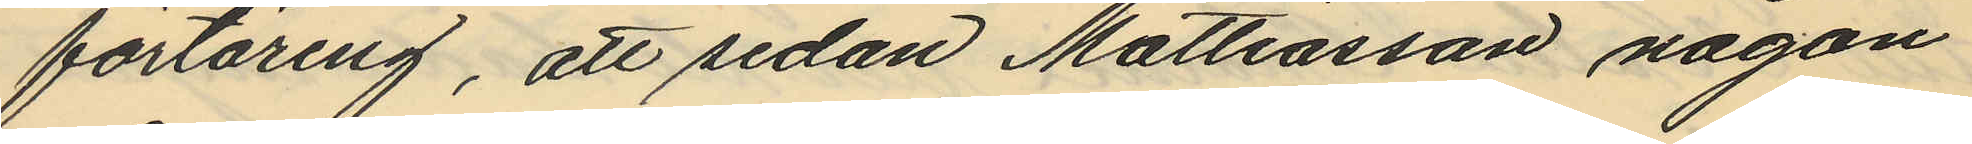förtäring, att sedan Mattiasson någon
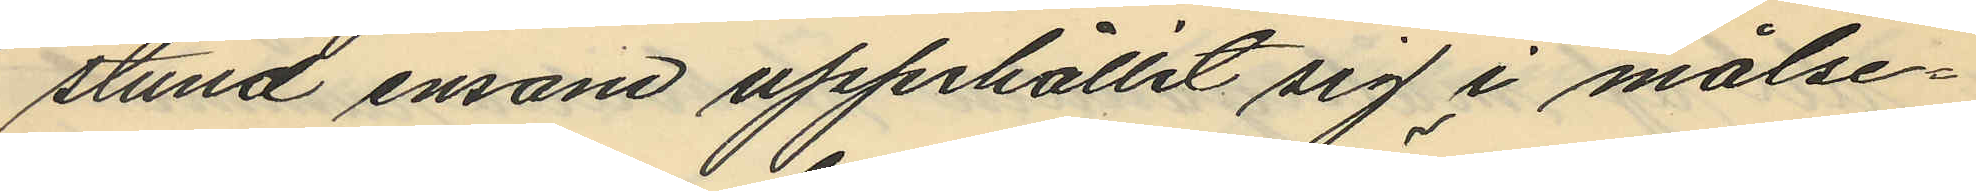stund ensam uppehållit sig i målse¬
